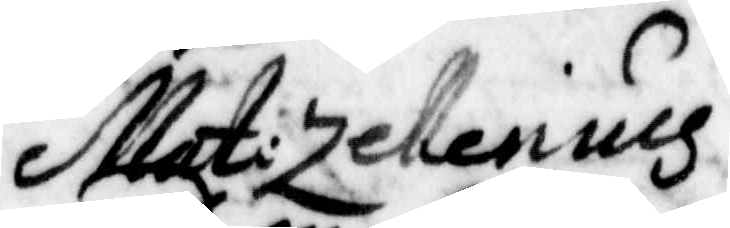Mati Zellenius
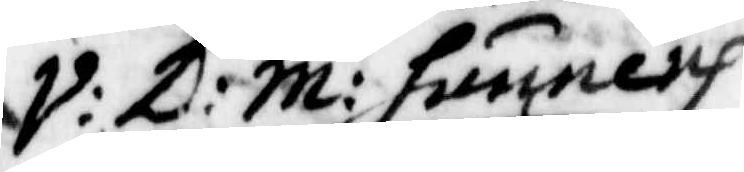V: D: M: hunnerh
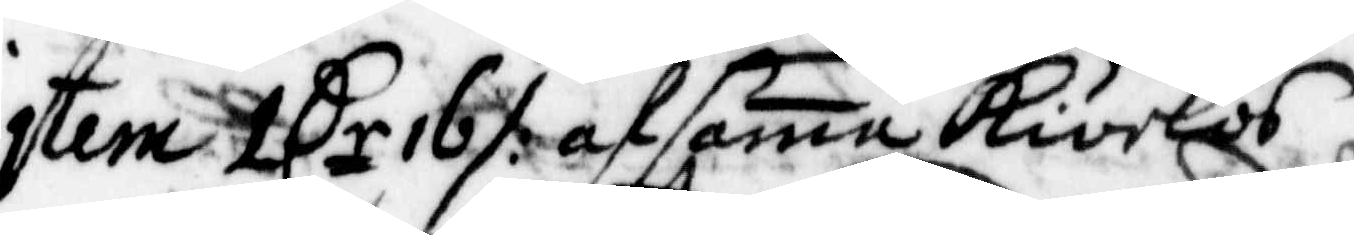Item 1 Cr 16 ./. af sama kirkos
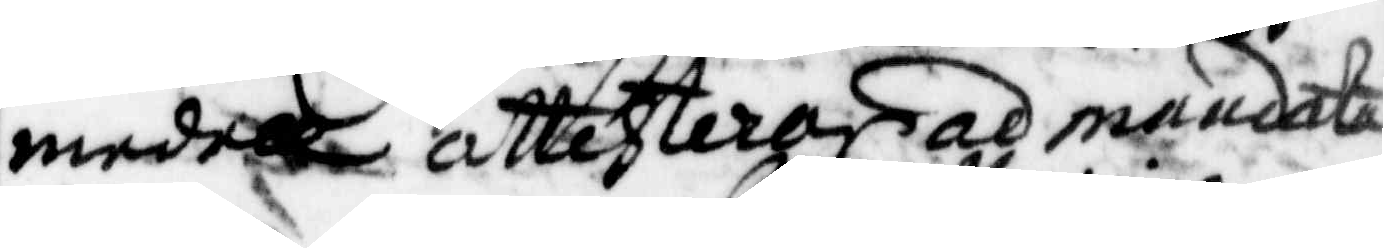medell attesterar al mandata
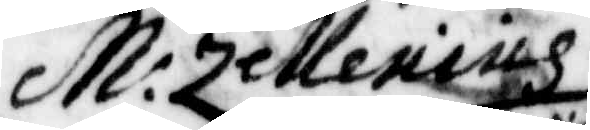M: Zellenius
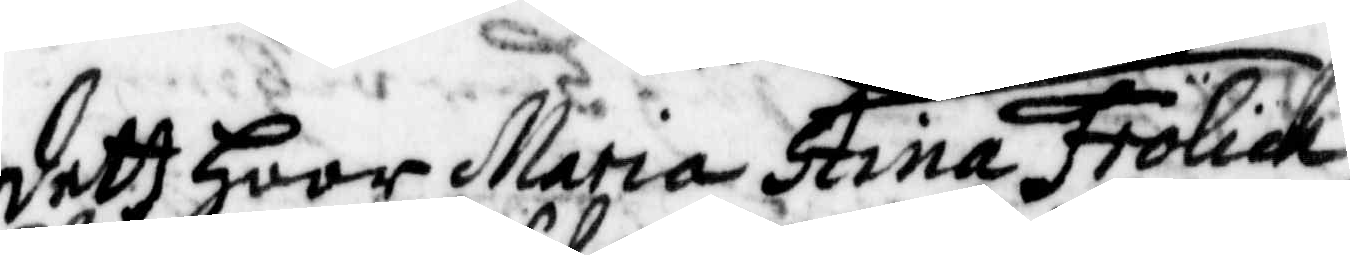dett Haar Maria Stina Frölich
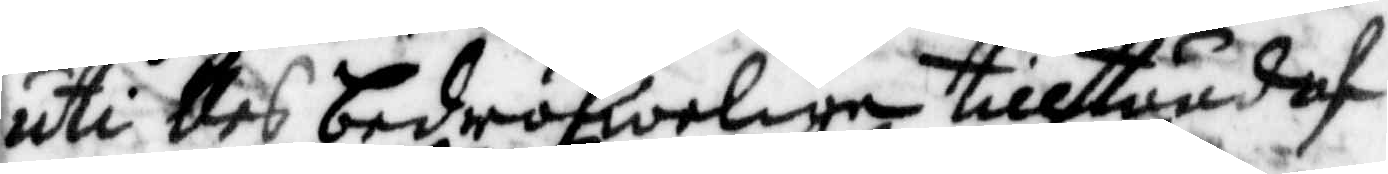uti des bedröfwelige tillstånd af
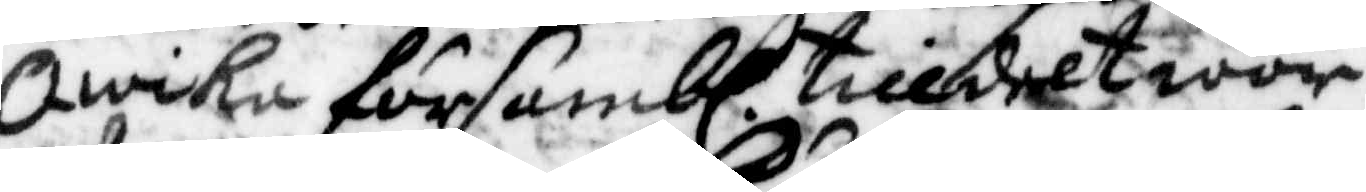Qwika försambl. tilldelt war
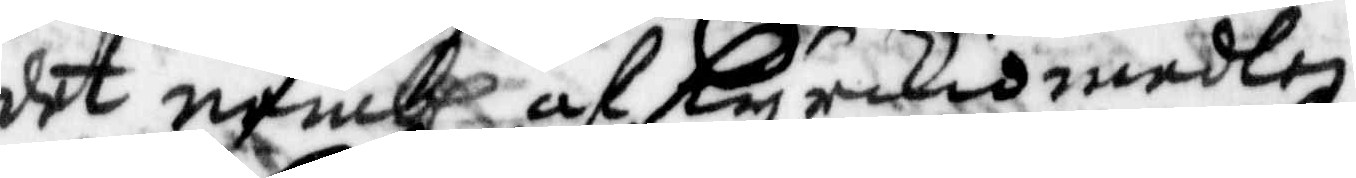det nembl af Kyrkiomedlen
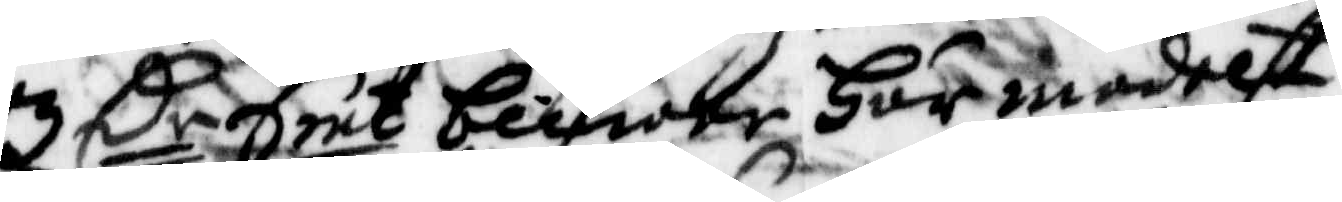3 Cr Smt blifwer här medelst
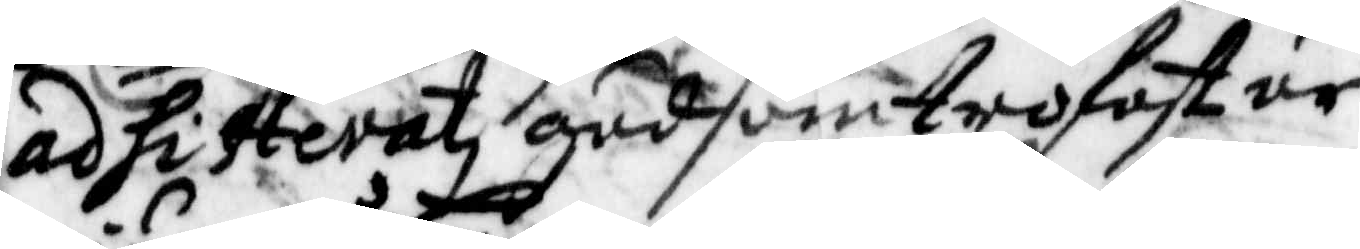af hitterat gud som trofast är
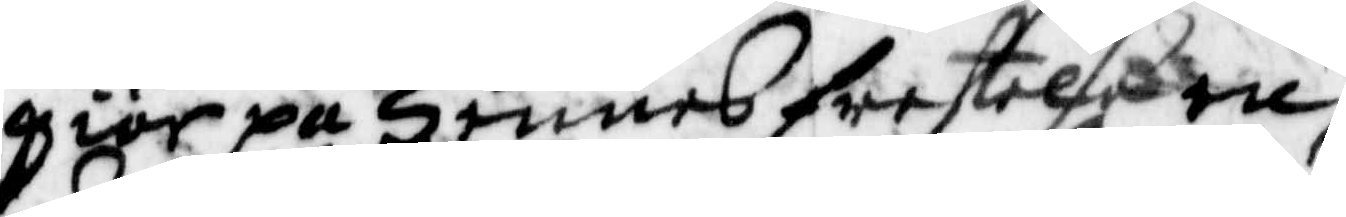giör på Hennes frestelse en
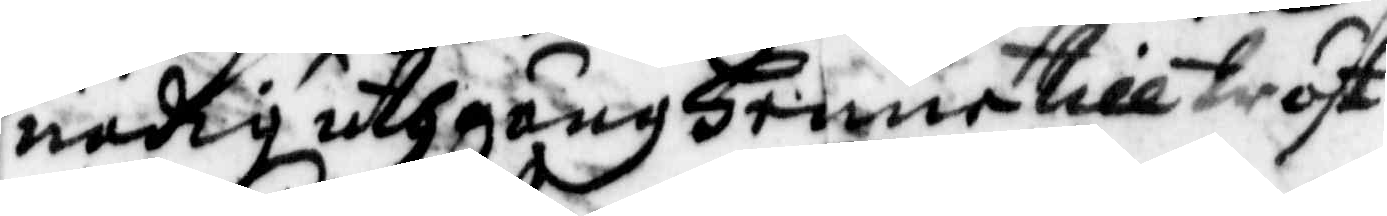nödig uthgång Henne till tröst
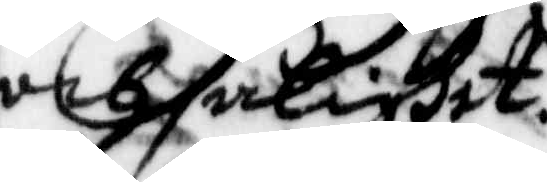och salighet.
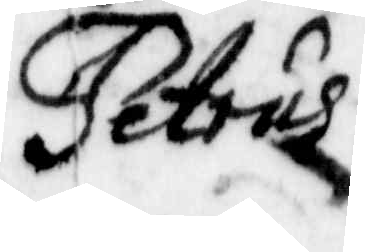Petrus
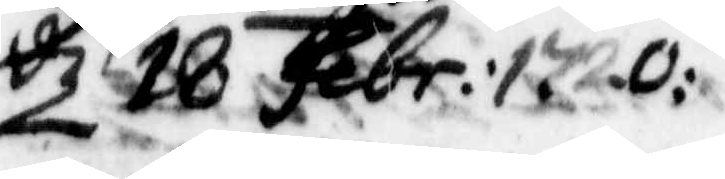d 18 Febr: 1720:
